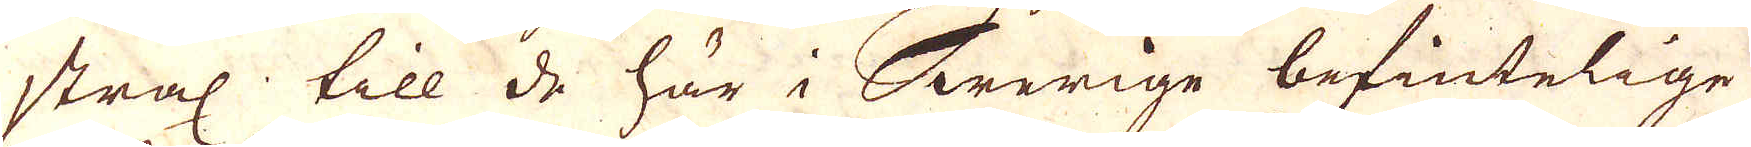strax till de här i Swerige befintelige
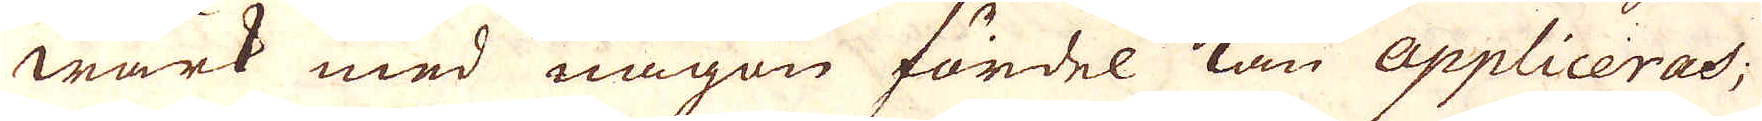wärk med någon fördel kan Appliceras;
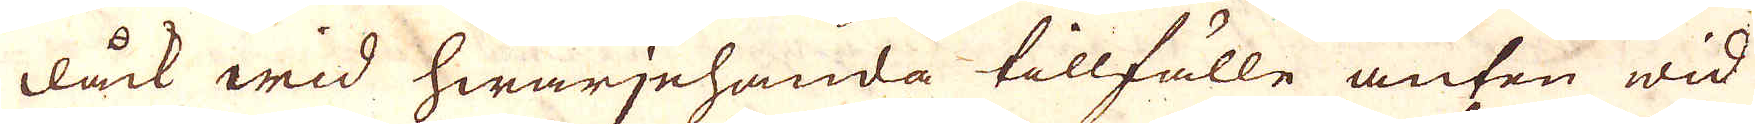dåck wid hwarjehanda tillfälle anten wid
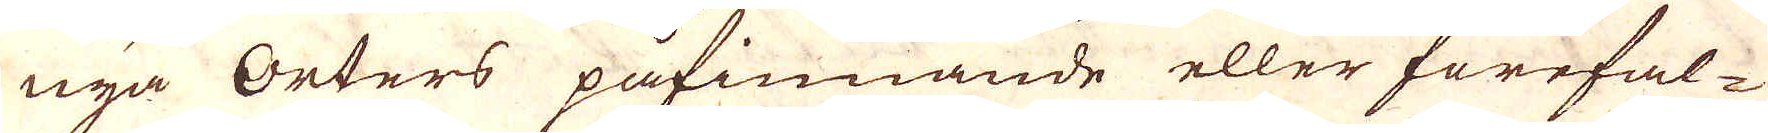nya orters påfinnande eller förefal-
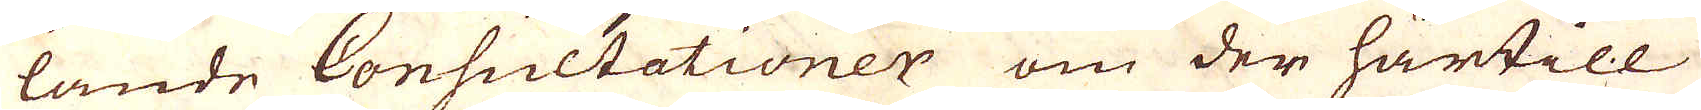lande Consultationer om der härtill
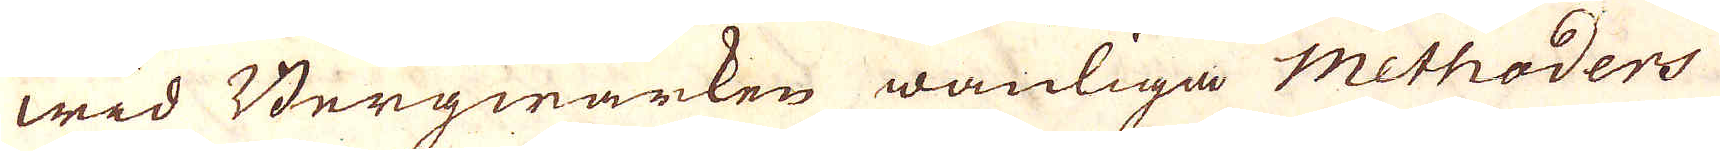wid Bergwärken wanliga methoders
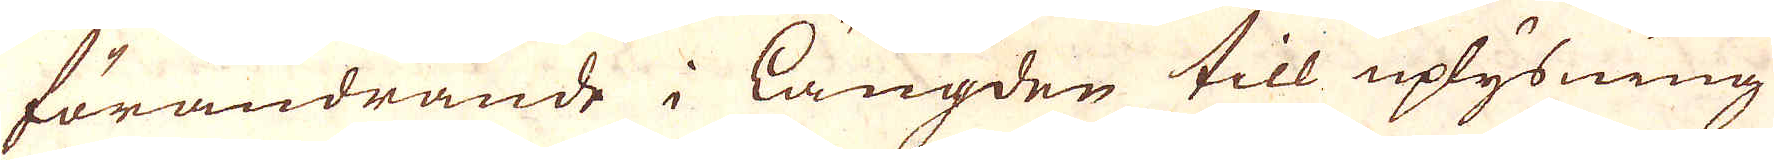förändrande i längden till uplysning
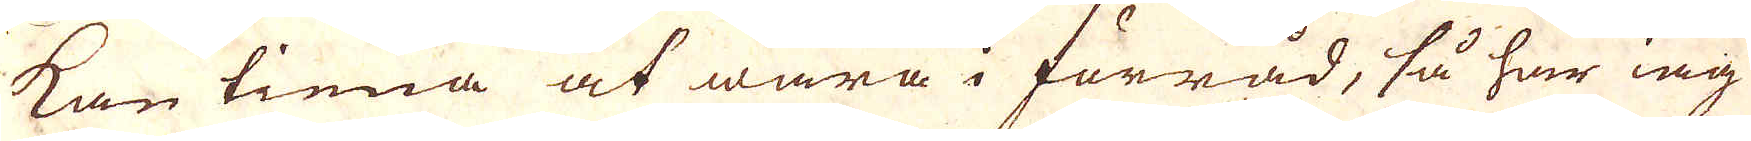kan tiena at wara i förråd, så har iag
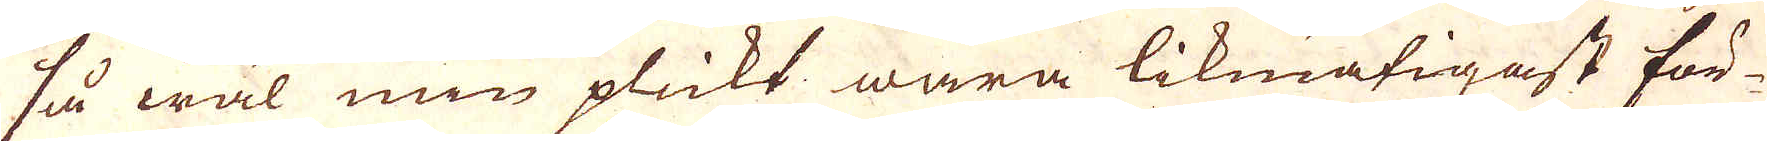så wäl min plickt wara likmätigast för-
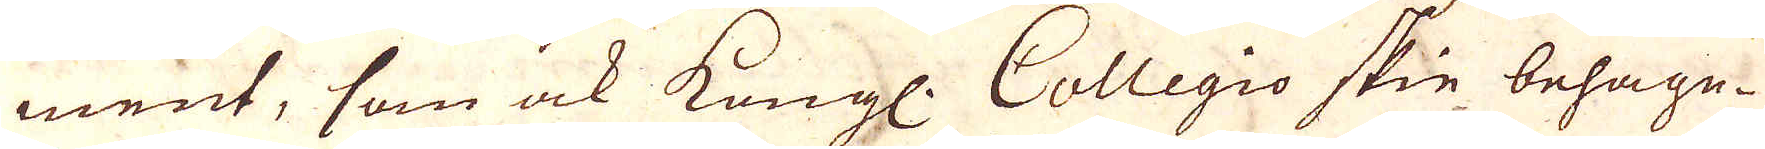ment, som ock kungl. Collegio skie behage.
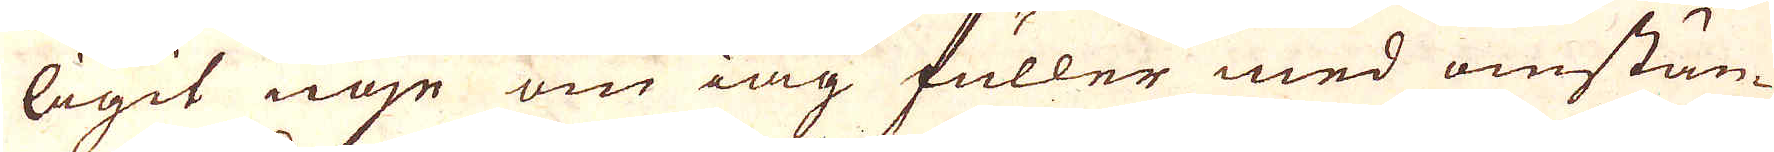ligit nöje om iag fuller med omstän-
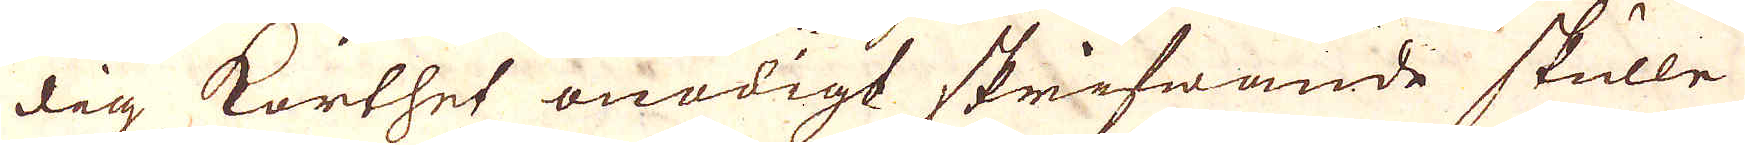dig korthet onödigt skrifwande skulle
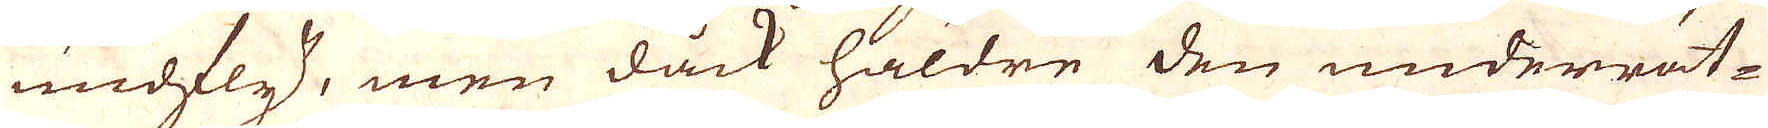undfly, men dåck häldre den underrät-
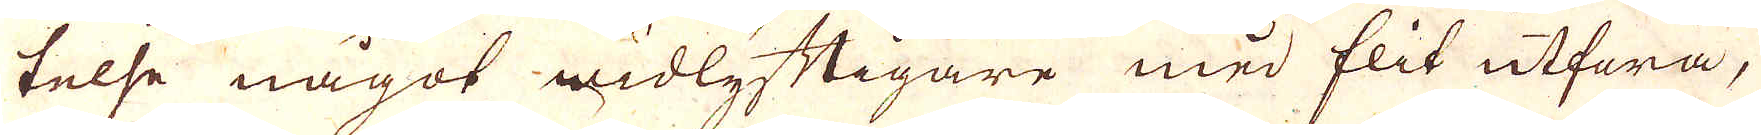telse något widlyftigare med flit utfara,
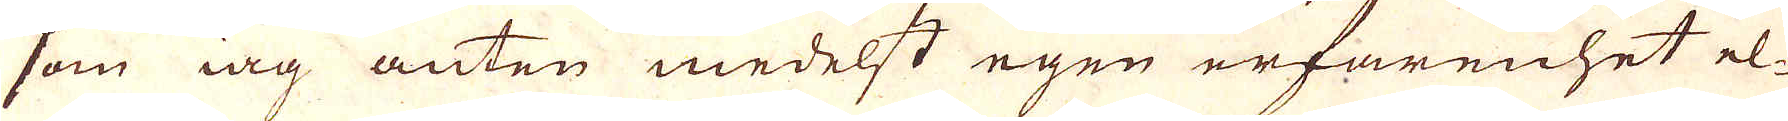som iag anten medelst egen erfarenhet el-
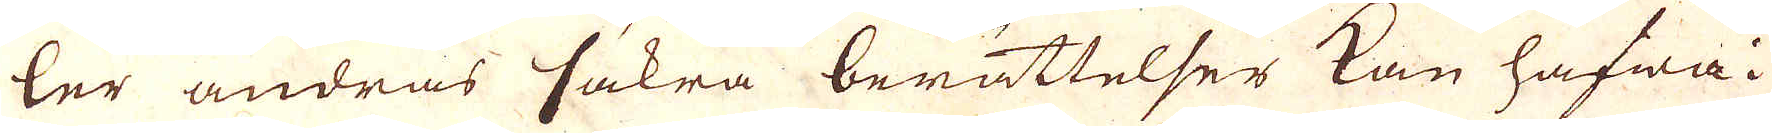ler andras säkra berättelser kan hafwa i
